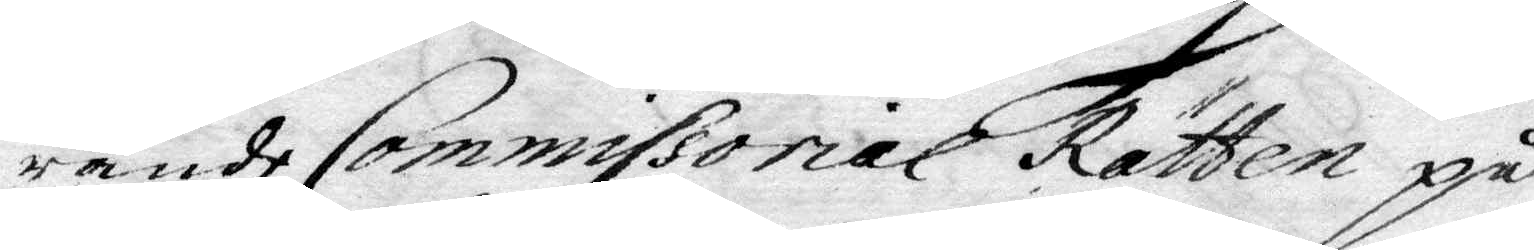rande Commissorial Rätten på
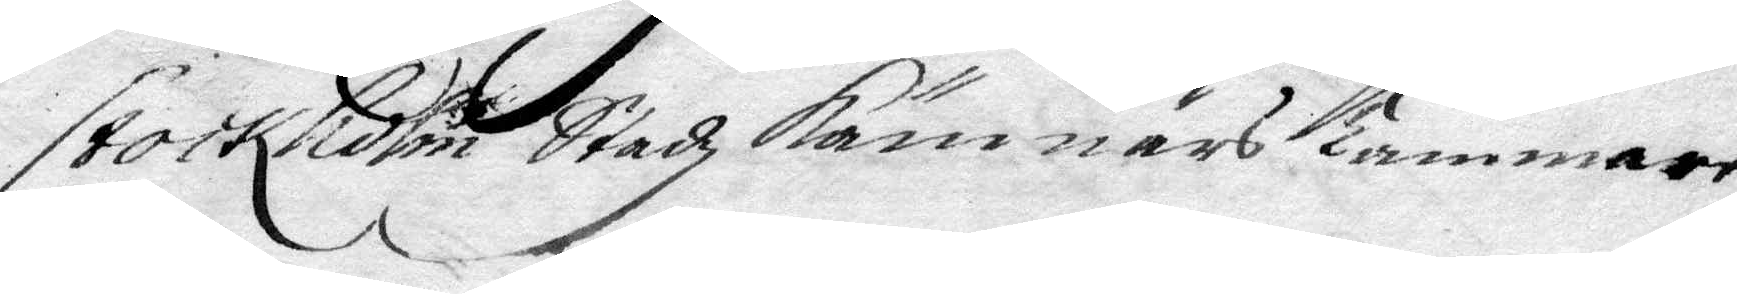Stockholm Stadz Kämnärs kammare
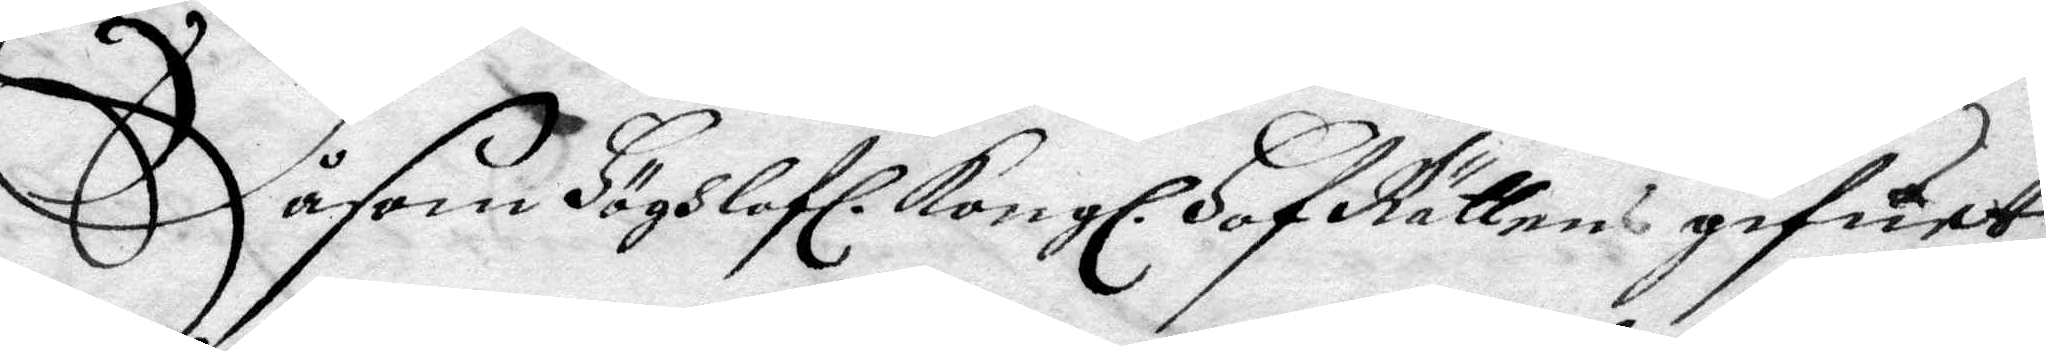Såsom Höghlofl. Kongl. HofRättens gifuet
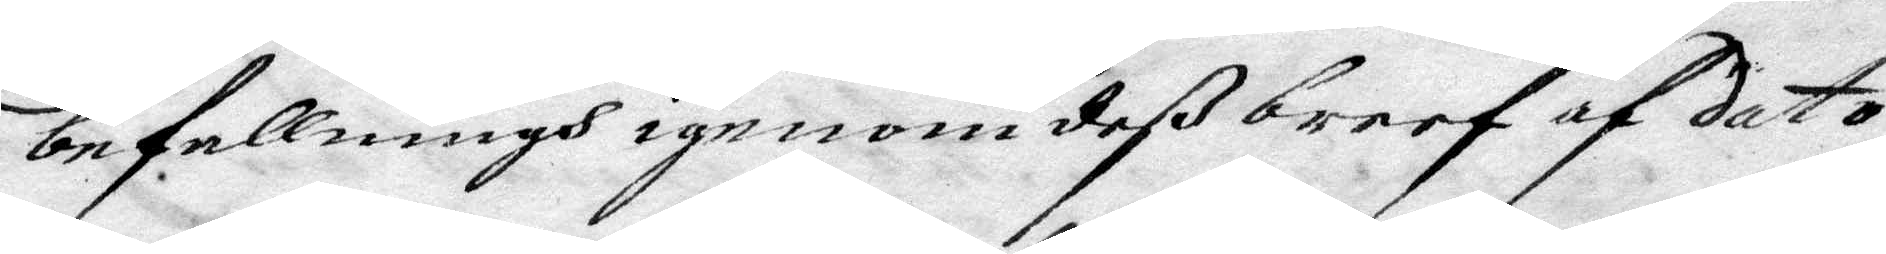befallningh igenom deß breef af dato
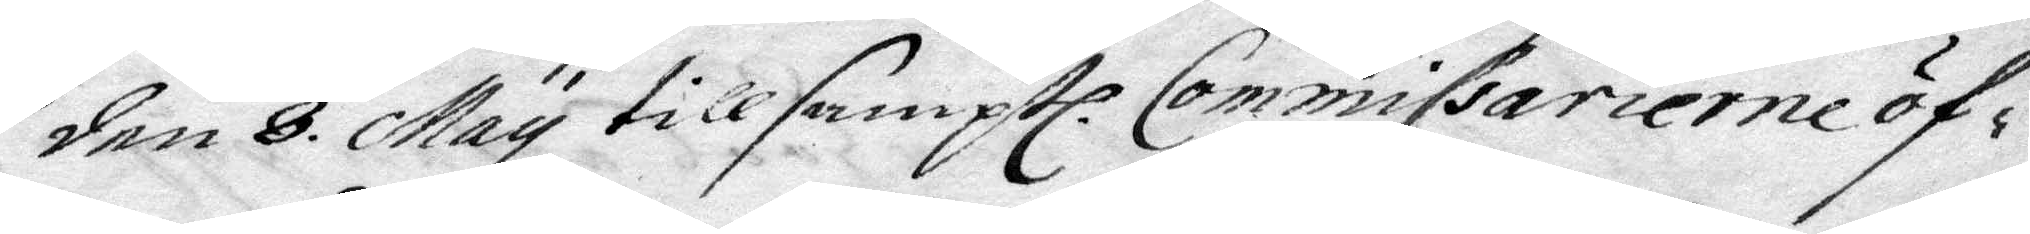den 8 May till samptl. Commissarierne öf¬
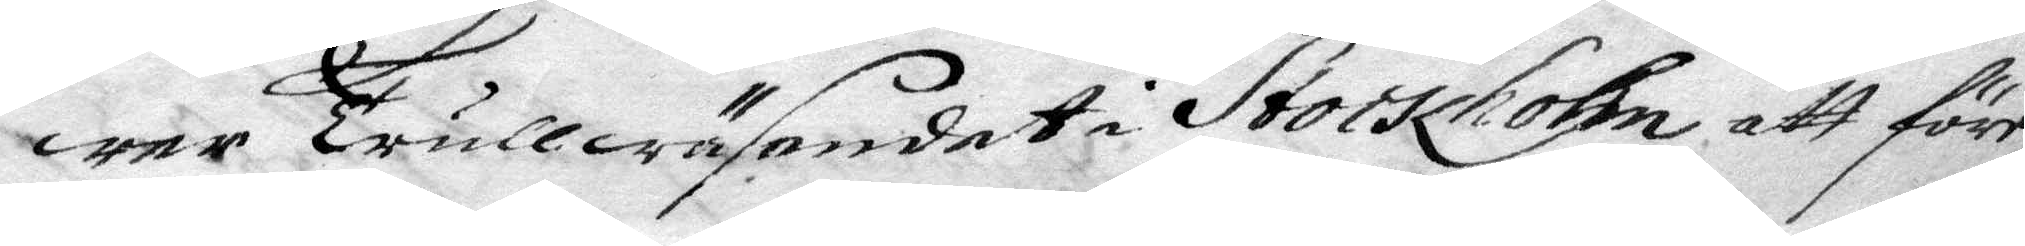wer Trullwäsendet i Stockholm att före¬
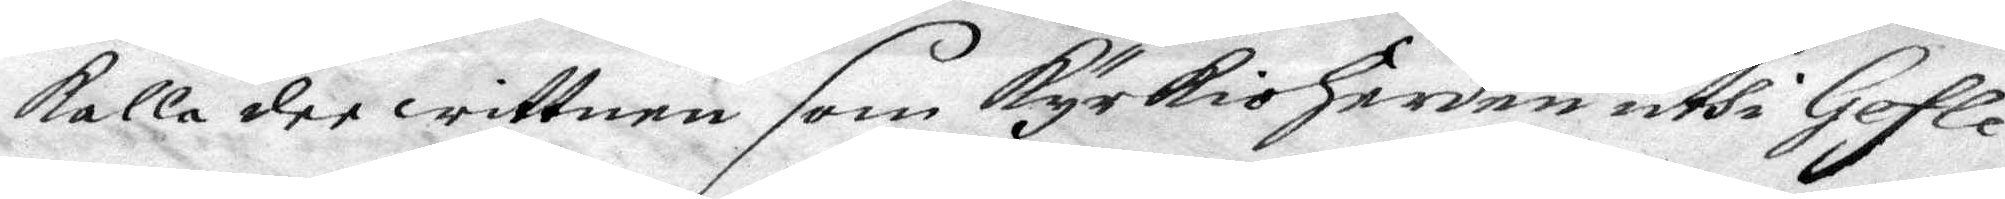kalla dee wittnen som KyrkioHerden uthi Gefle
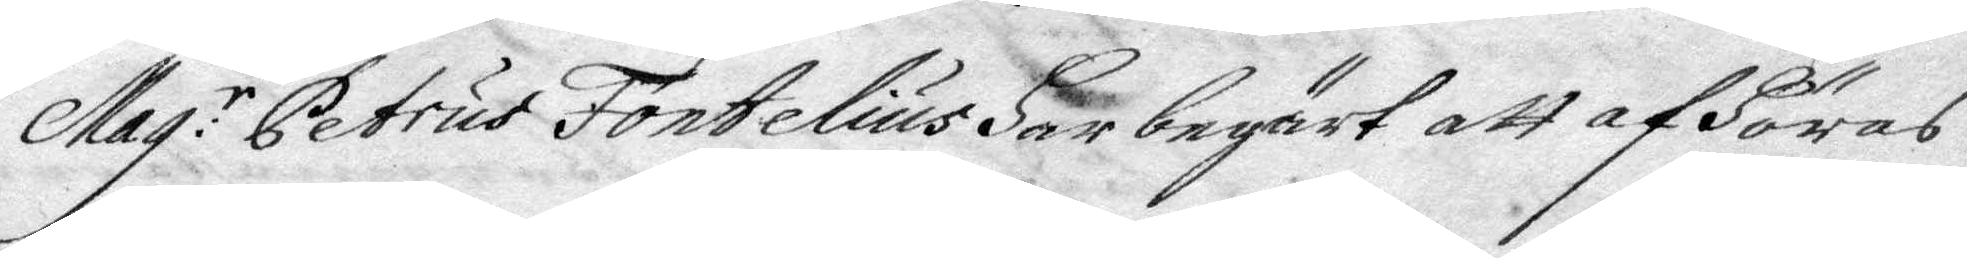Mag:r Petrus Fontelius Har begärt att afHöras
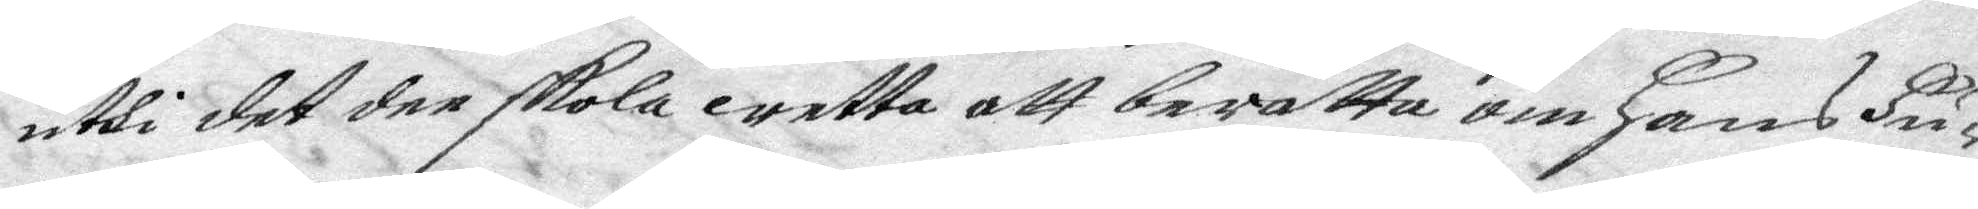uthi det dee skola wetta att berätta om Hans Hu¬
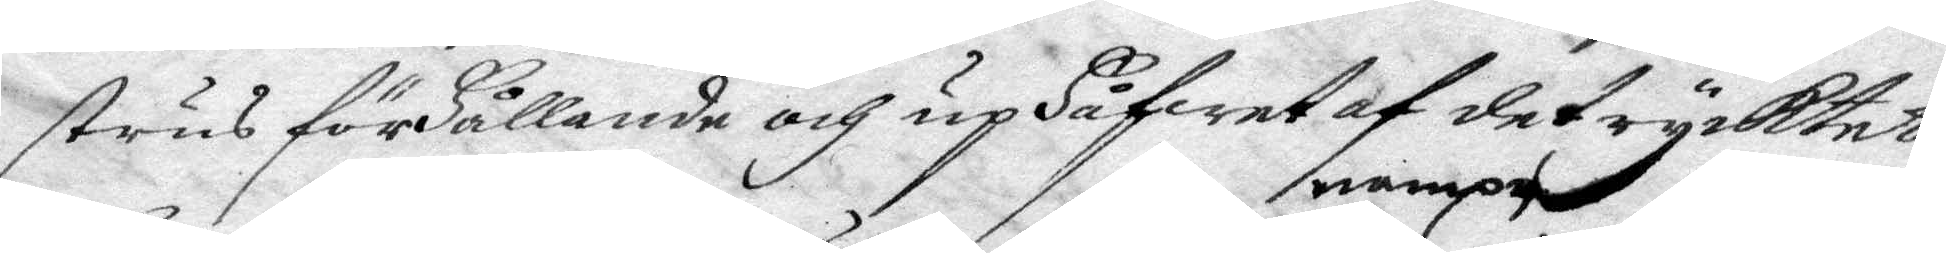strus förHållande och upHåfwet af det rycktet
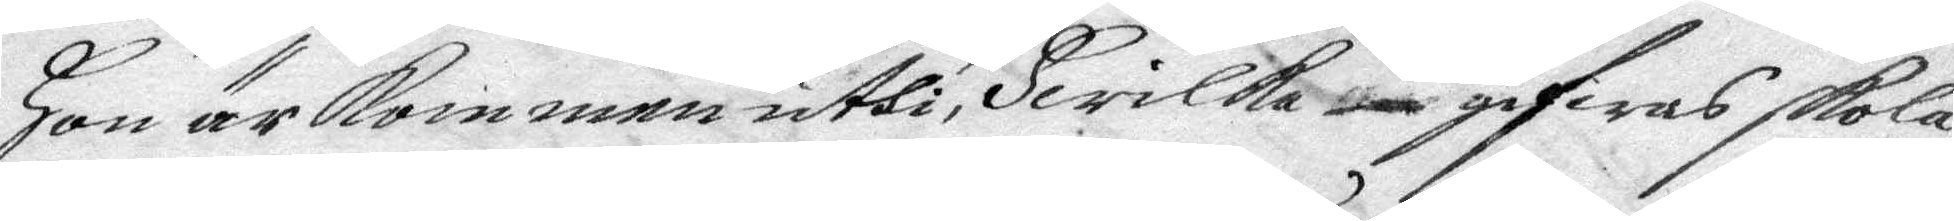Hon är kommen uthi, Hwilka nampn gifwas skola
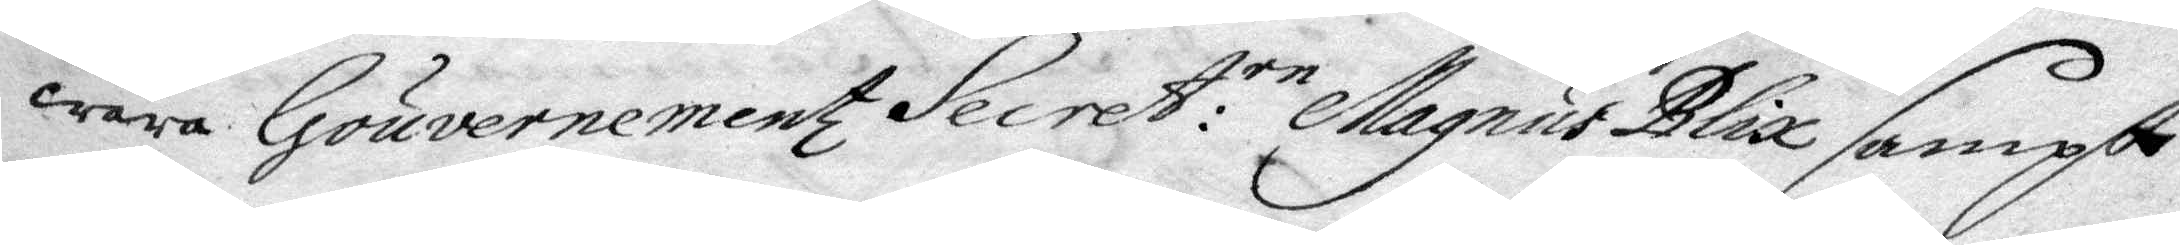wara Gouvernementz Secret:en Magnus Blix sampt
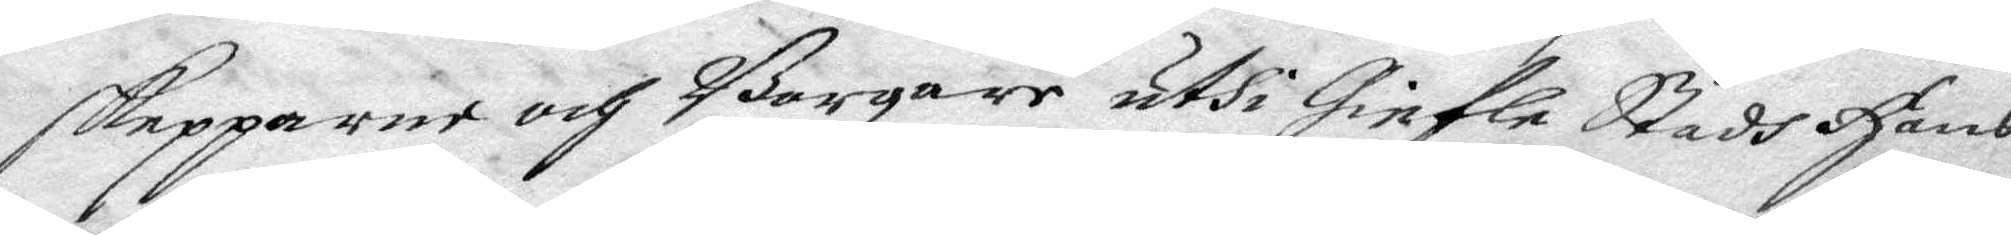skepparne och Borgare uthi Giefle Stads Hans
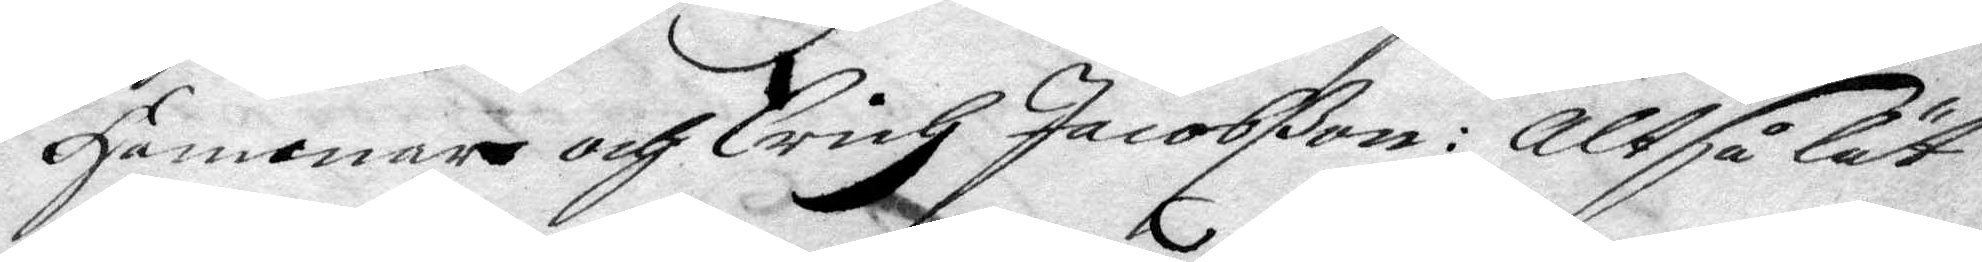Hammar och Erich Jacobßon: Alstå lät
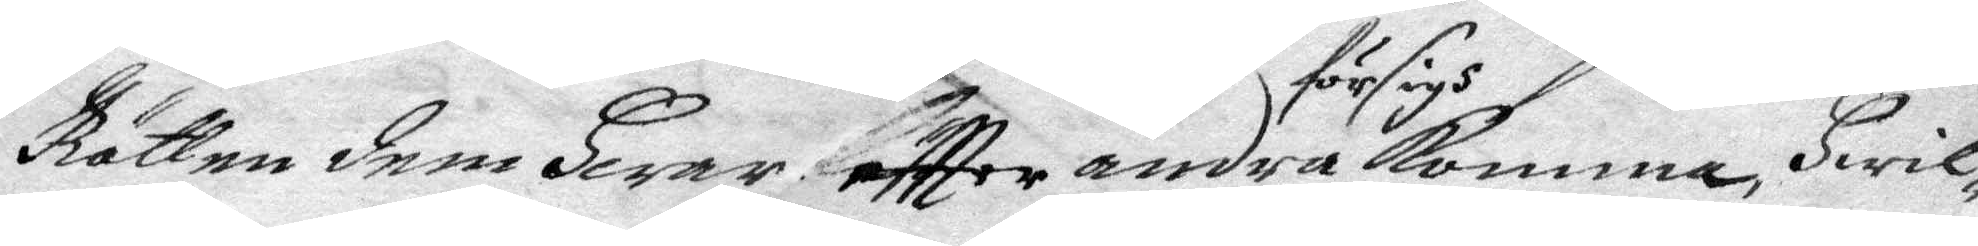Rätten dem Hwar eftter andra för sig komma, Hwil¬
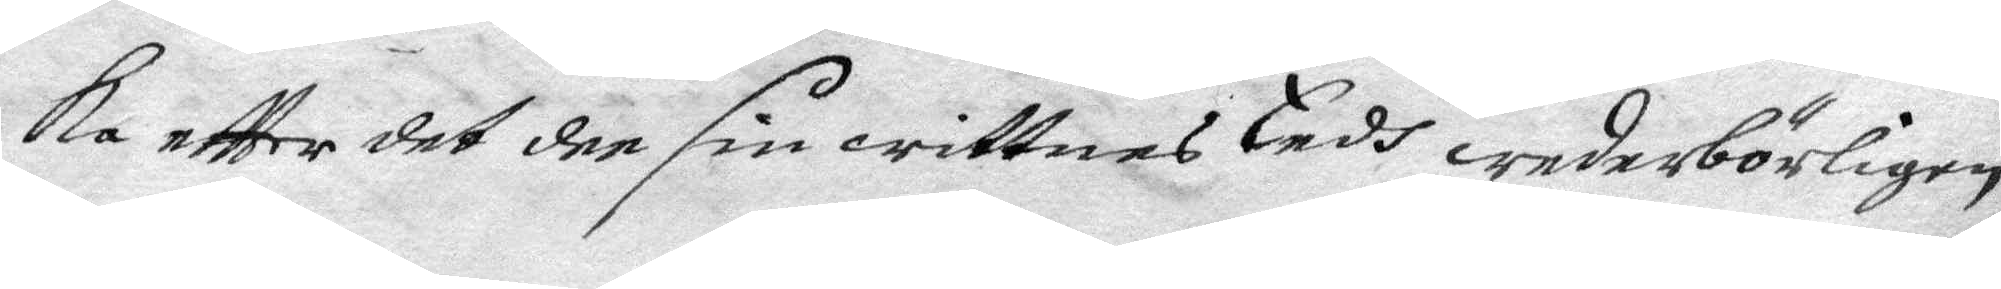ka eftter det dee sin wittnes Eedh wederbörligen
